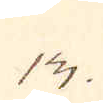13.
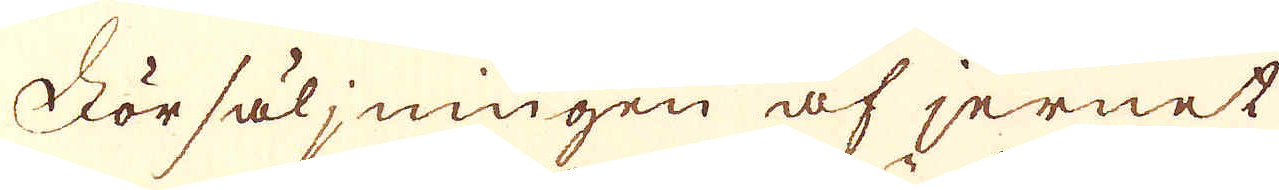Försäljningen af jernet
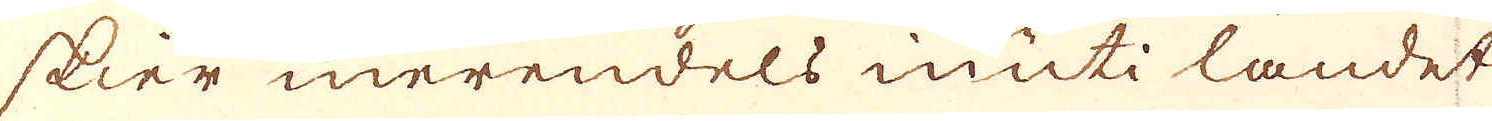sker merendels inuti landet
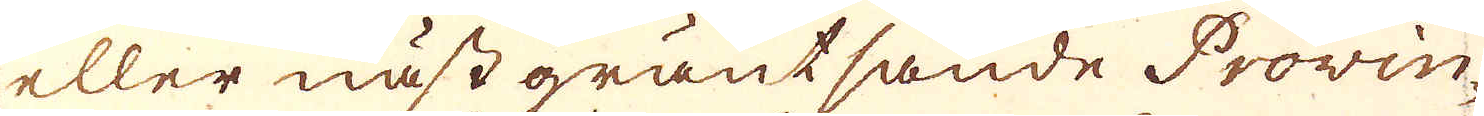eller nästgräntsande Provin-
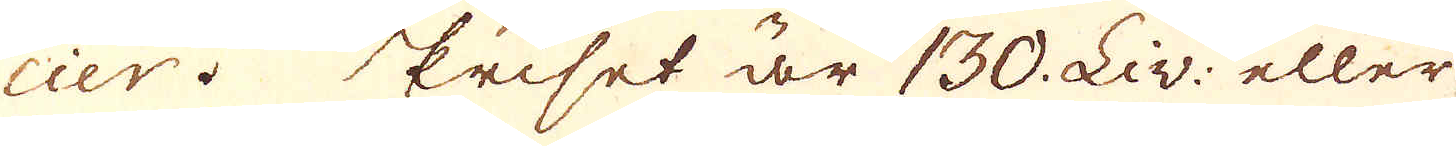cier priset är 130. Liv: eller
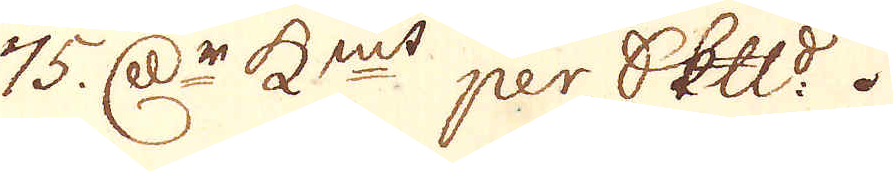75. r:Dr K:mt per Skeppund.
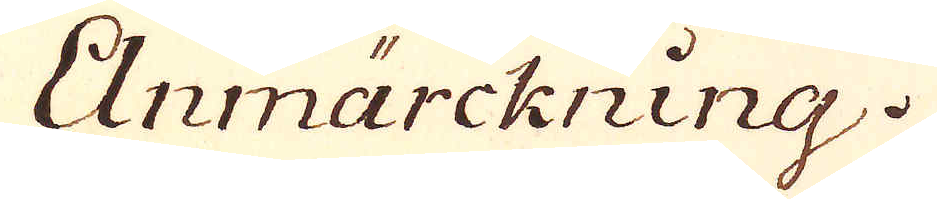Anmärckning.
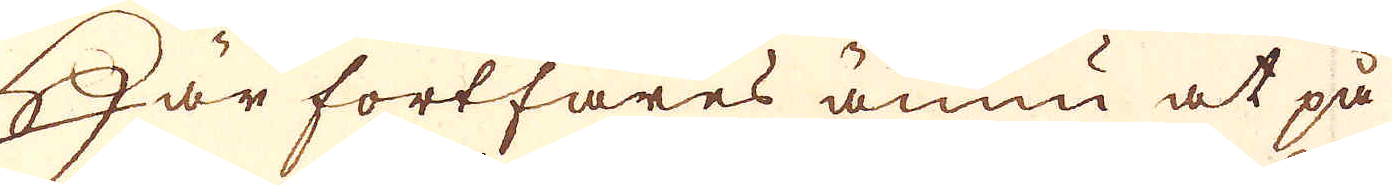Här fortfares ännu at på
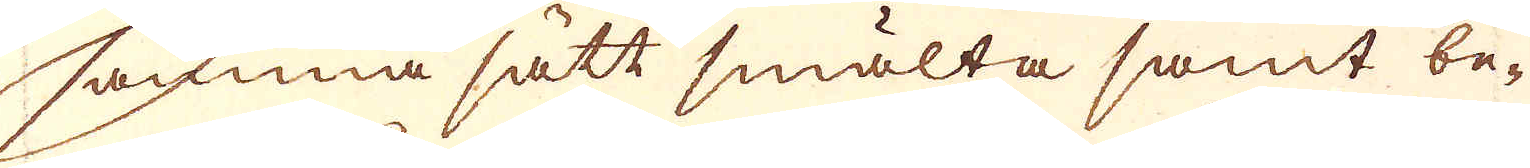samma sätt smälta samt be-
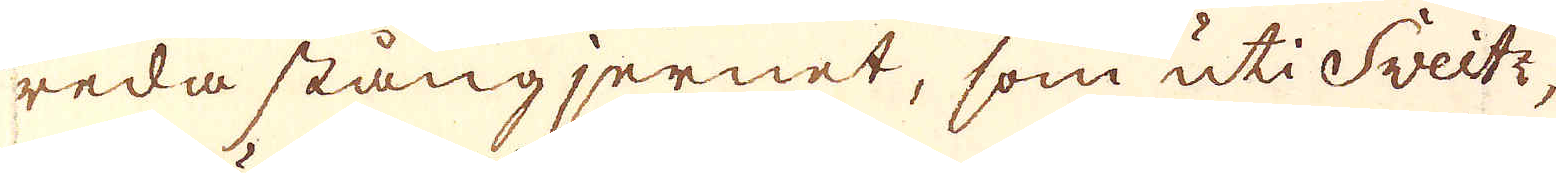reda stångjernet, som uti Sveitz,
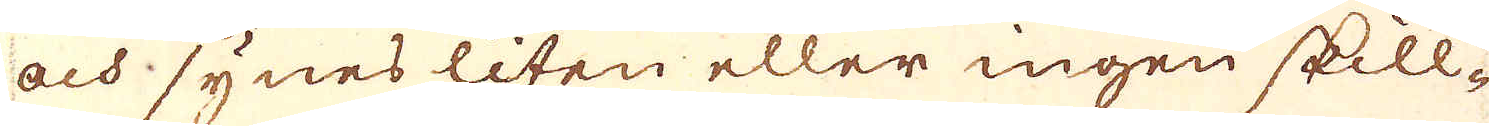och synes liten eller ingen skill-
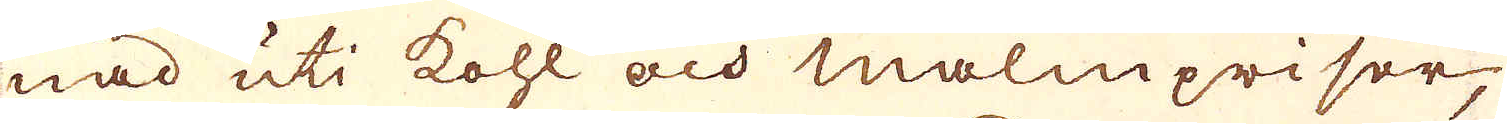nad uti kohl och Malmpriser
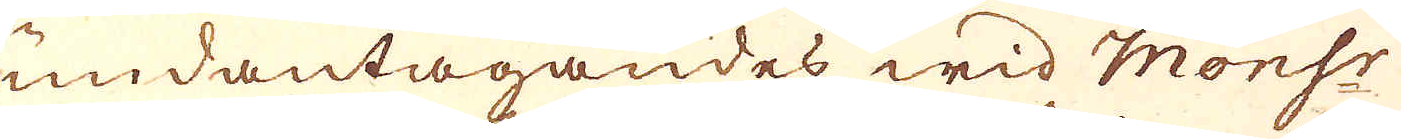undantagandes wid Monsr
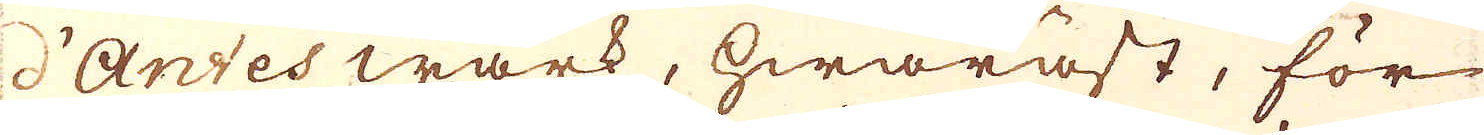d'Antes wärk, hwaräst, för
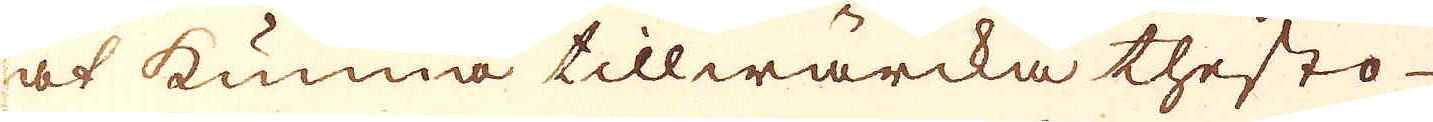at kunna tillwärcka thesto
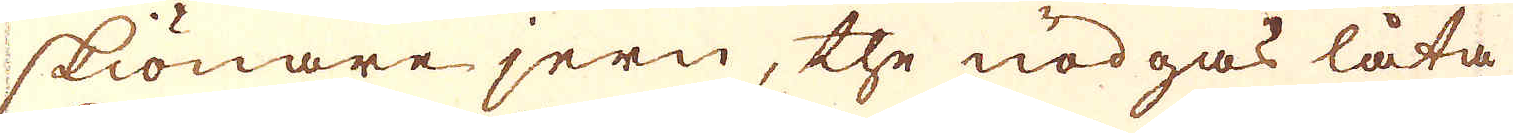skiönare jern, the nödgas låta
